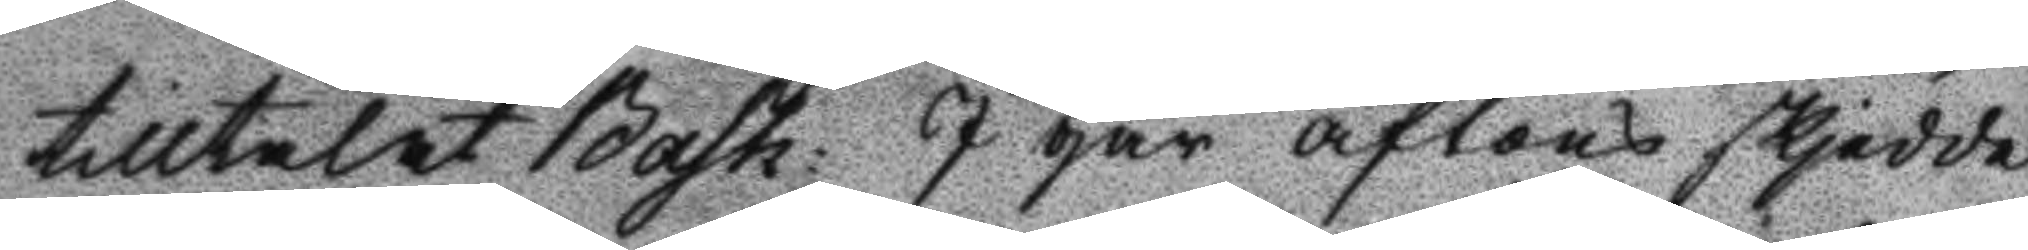ttilltalat Bash: I går aftons skjedde
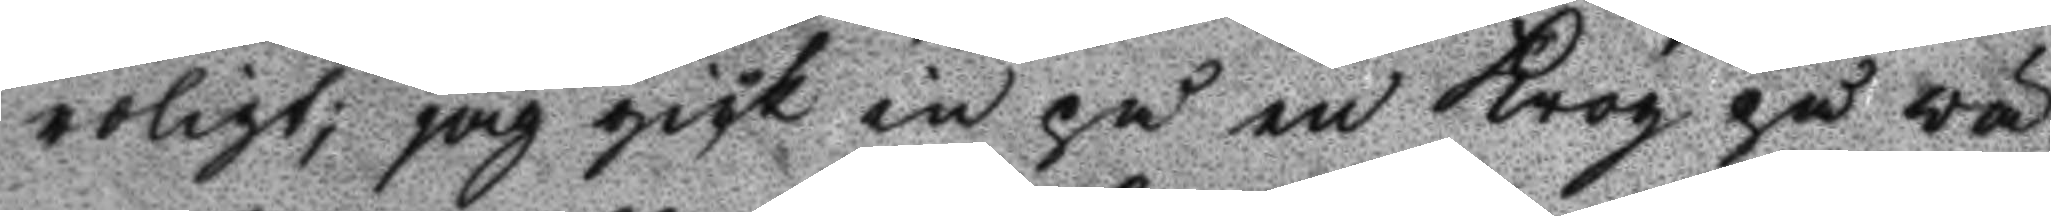roligt; jag gick in på en Krog på vä¬
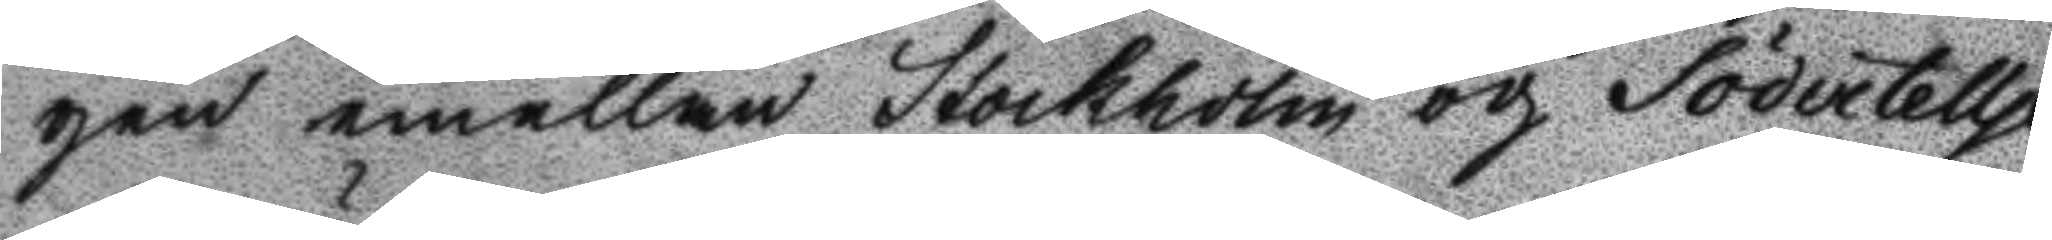gen emellan Stockholm och Södertellje
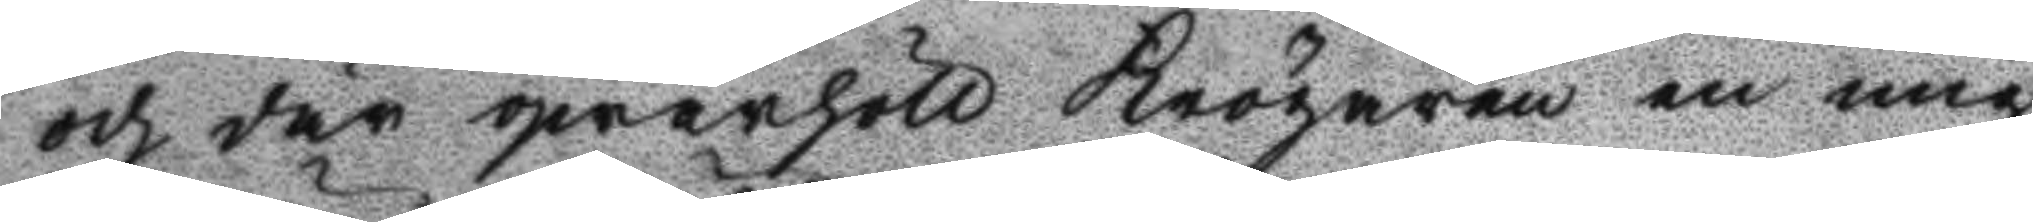och där qwarhöll Krögaren en mig
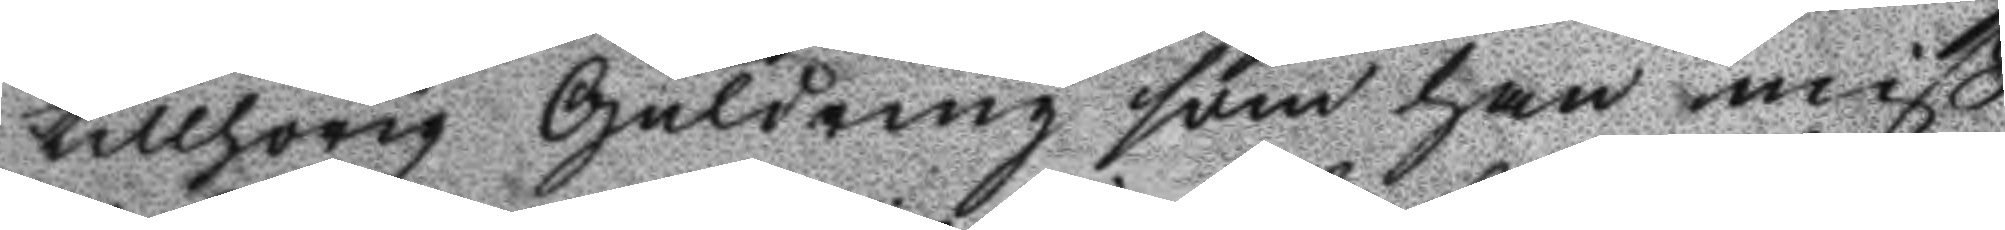tillhörig Guldring som han miß¬
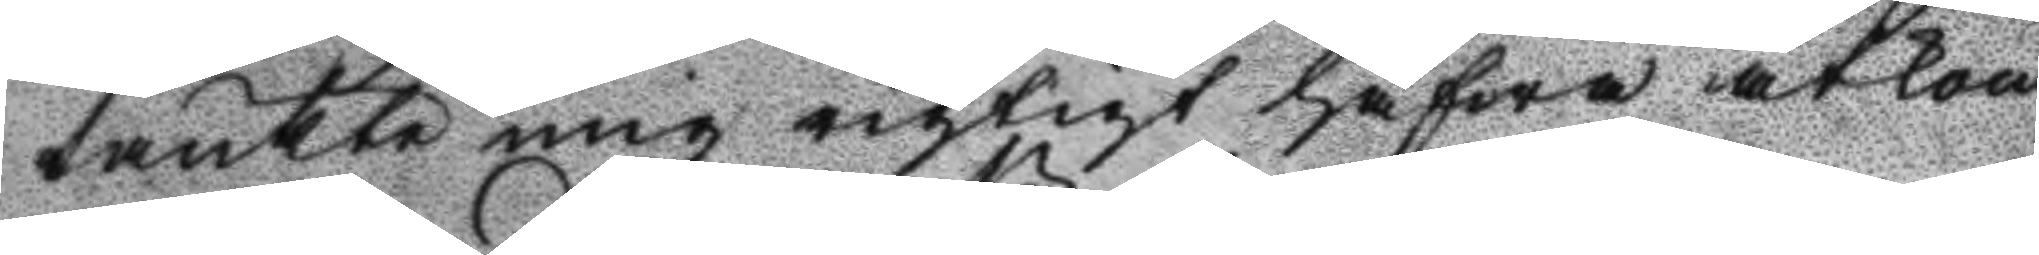tänkte mig rigtigt hafwa åtkom¬
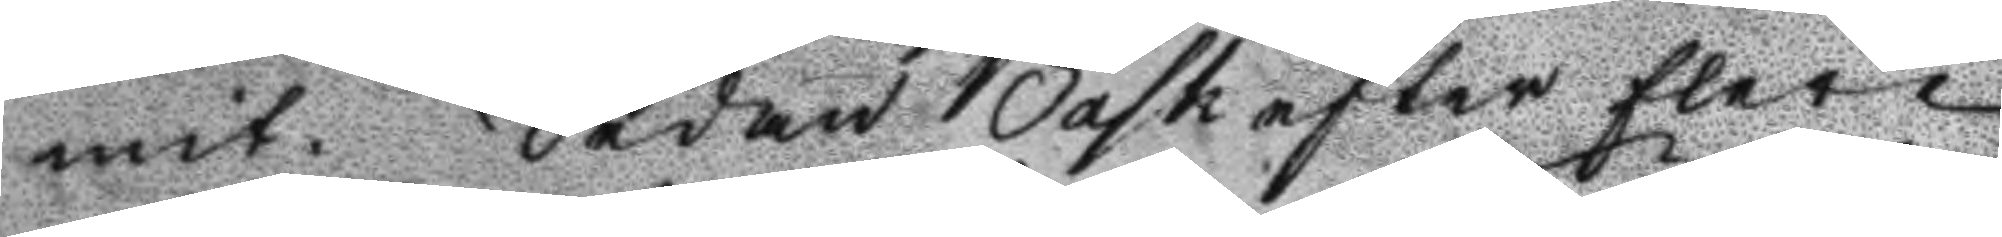mit. Sedan Bask efter flere
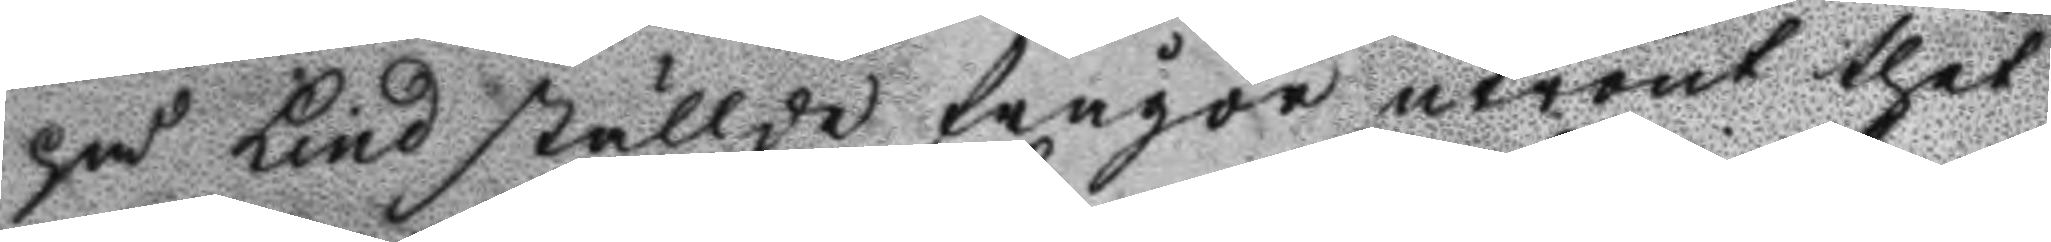på Lind ställde frågor utrönt thet
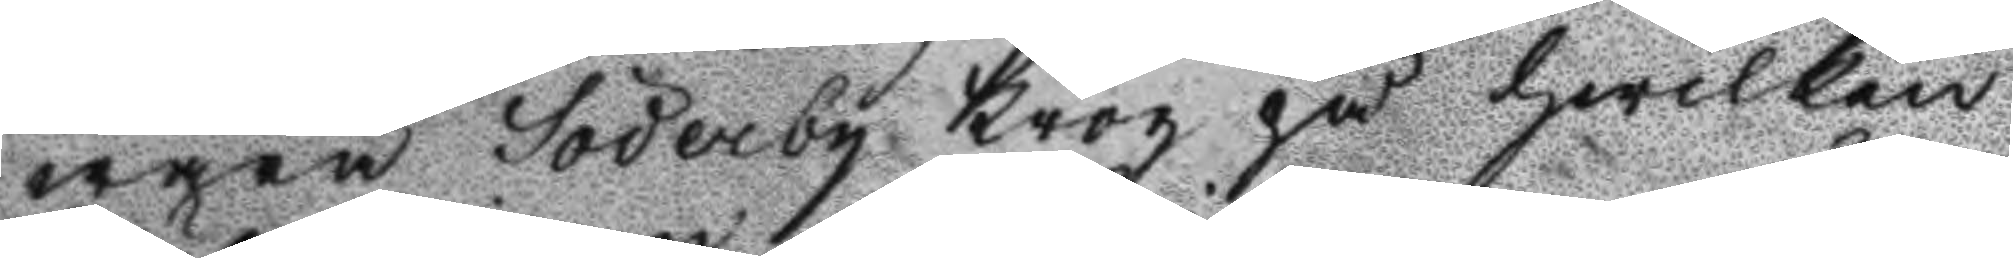wara Söderby Krog på hwilken
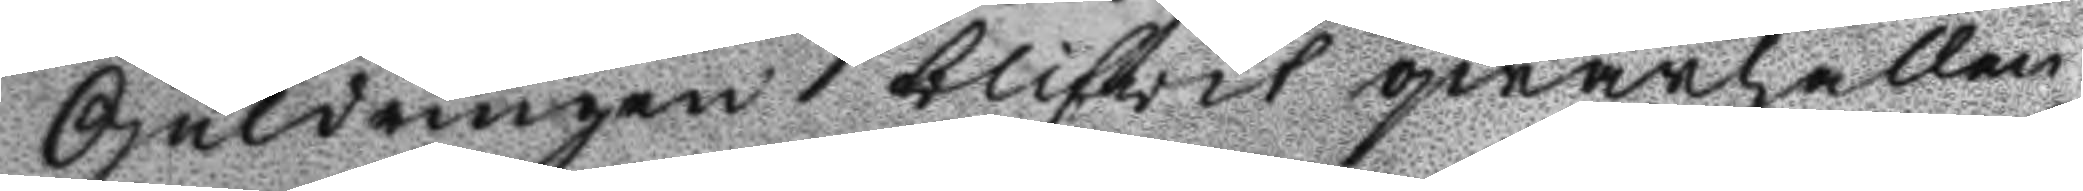Guldringen blifvit qwarhållen
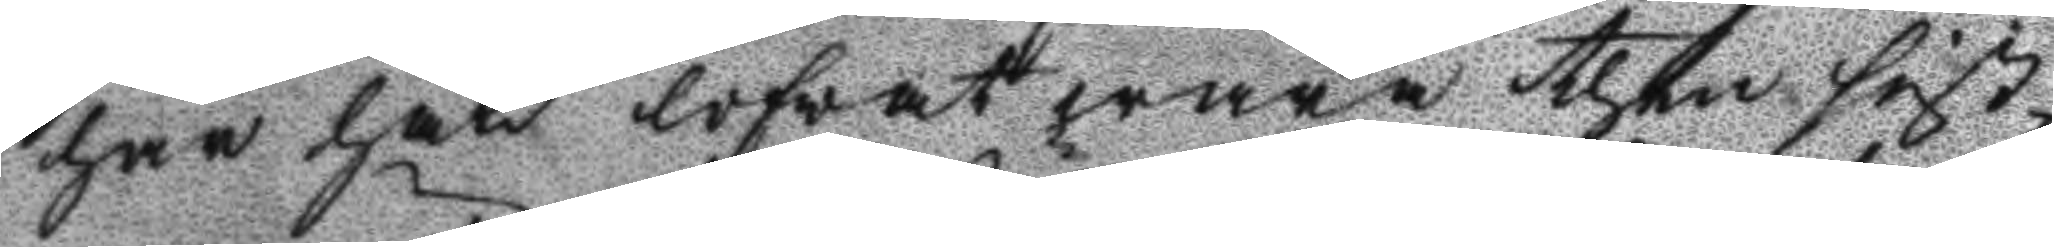har han lofwat wara then sist¬
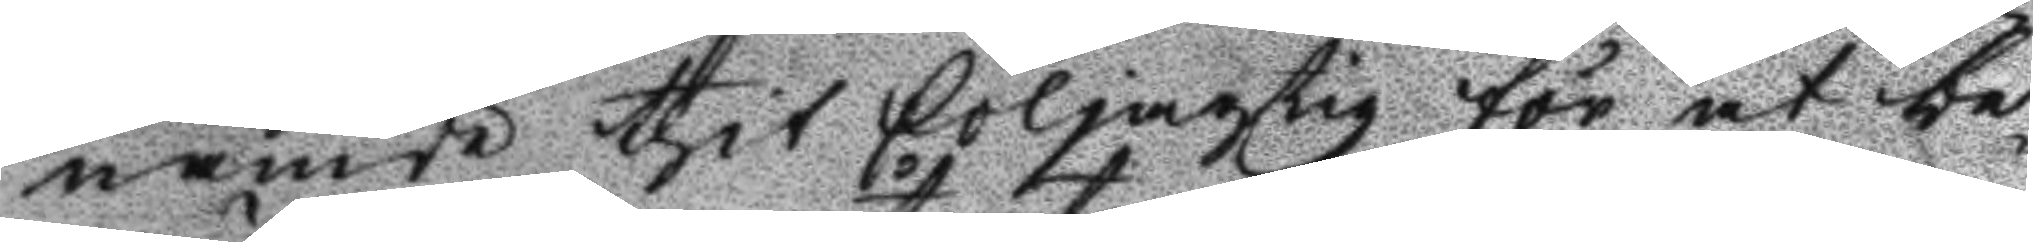nemte thit följande för at be¬
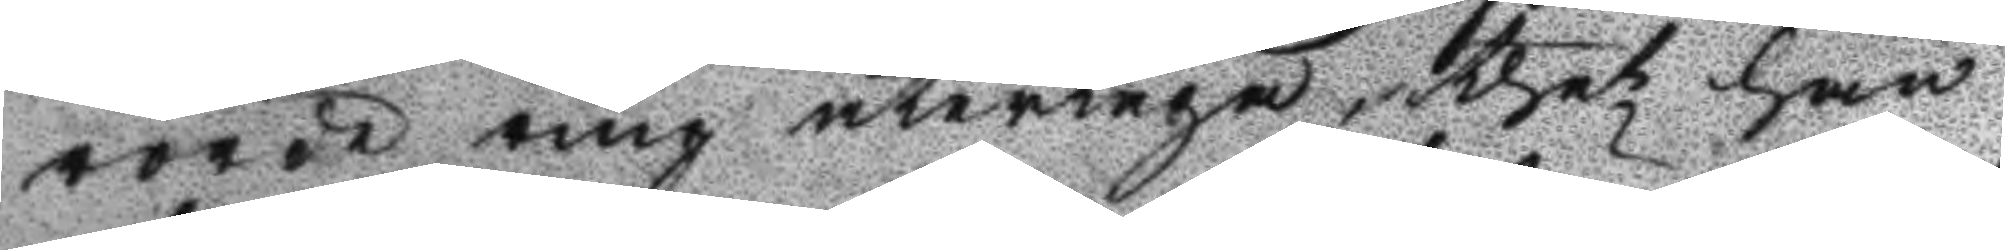rörde ring återtaga, thet han
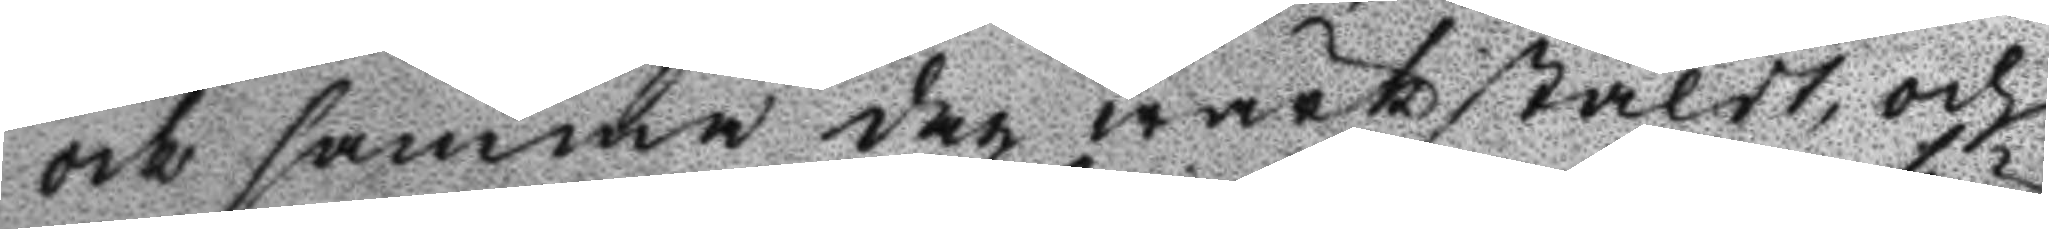och samma dag werkstäldt, och
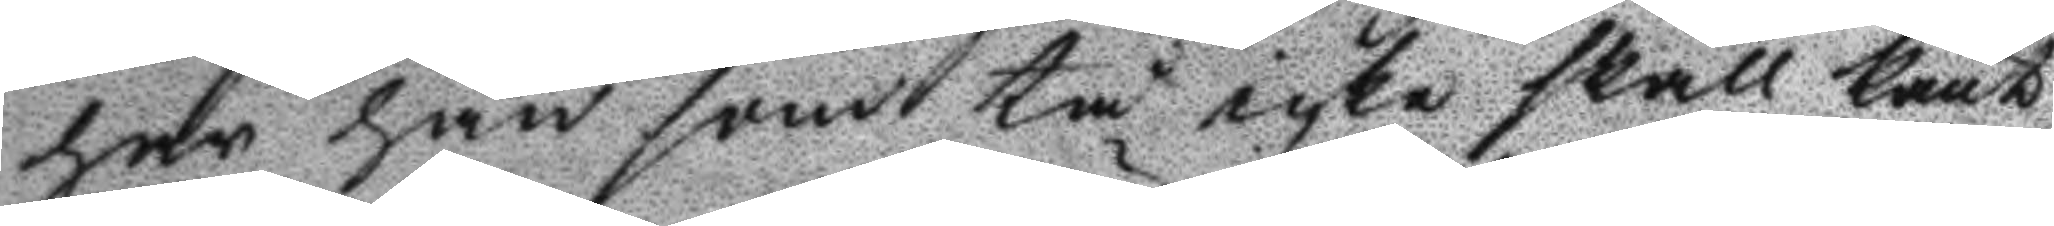har han som tå icke skall känt
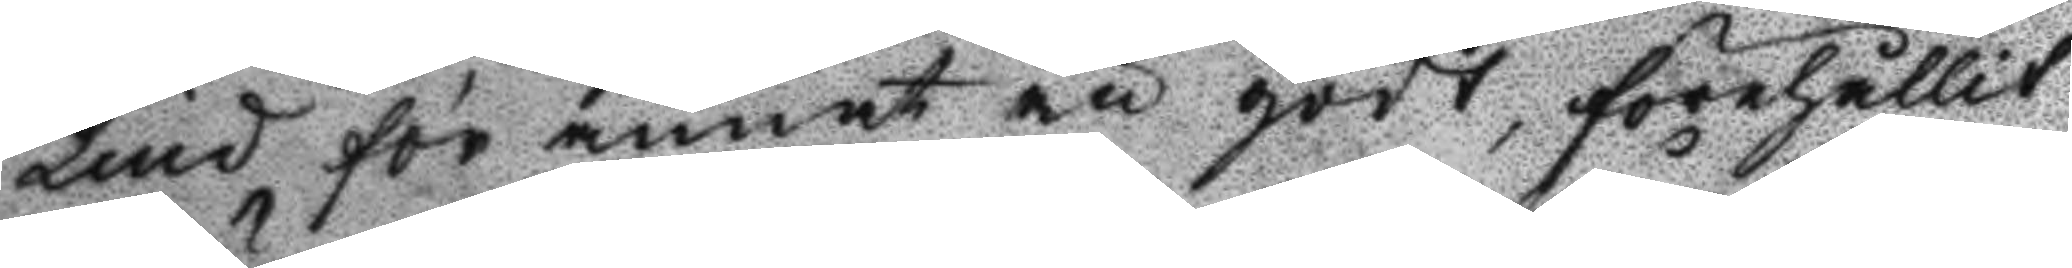Lind för annat än godt, förehållit
